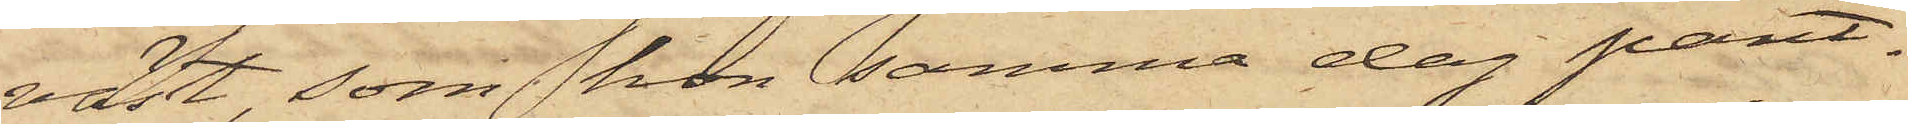väst, som hon samma dag pant¬
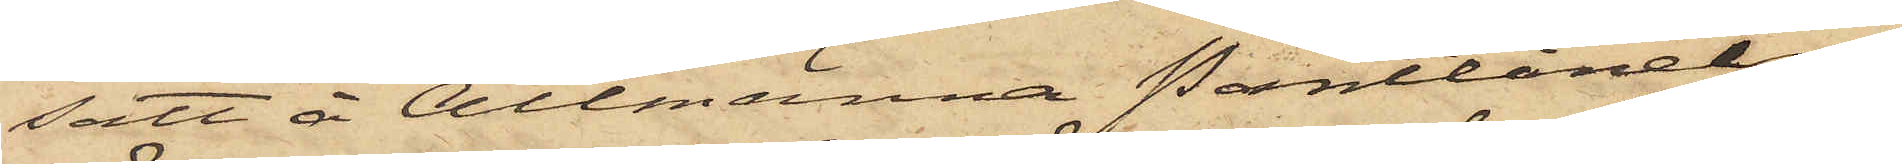satt å Allmämna Pantlånein¬
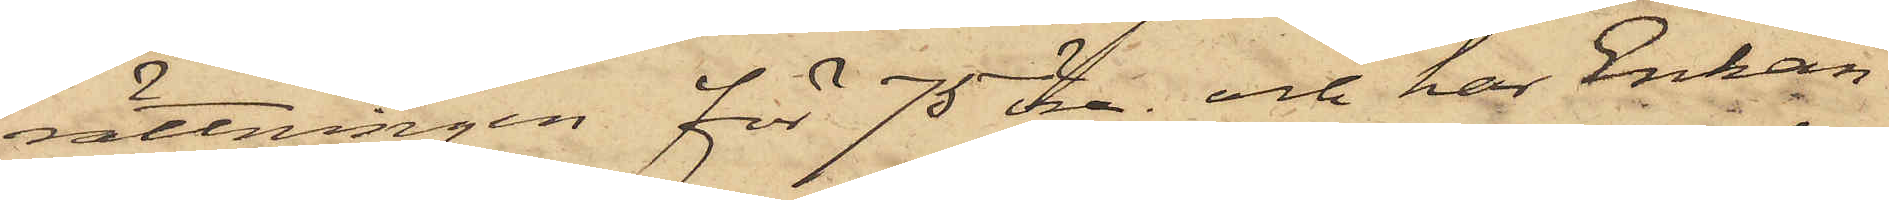rättningen för 75 öre, och har Enkan
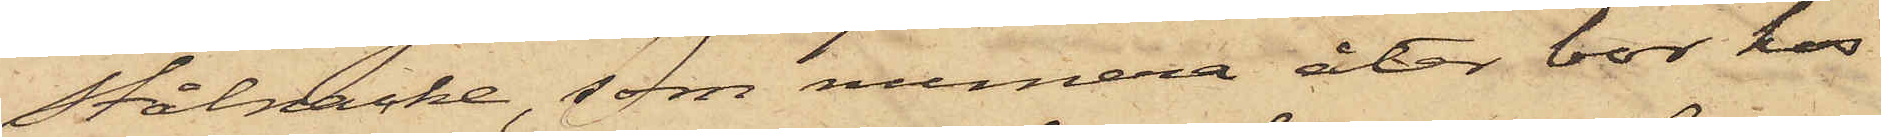Stålnacke, som numera åter bor hos
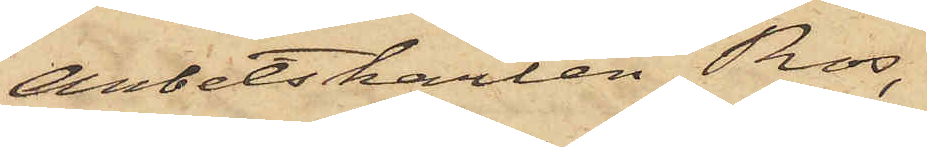Arbetskarlen Ros,
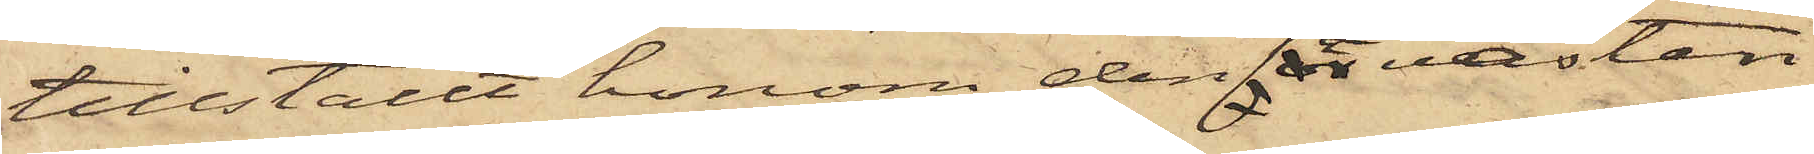tillställt honom den å västen
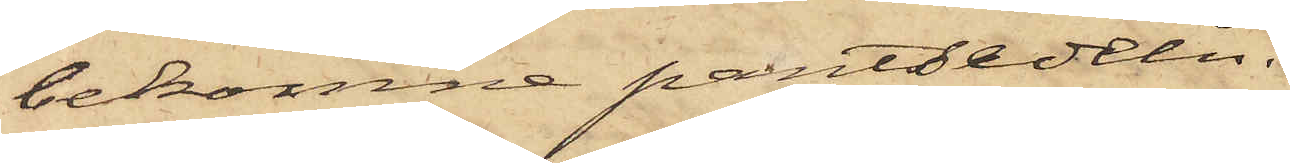bekomne pantsedeln.
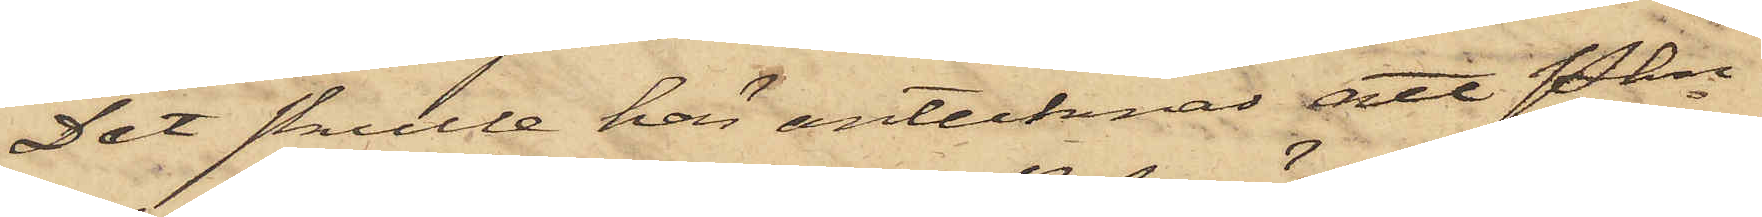Det skulle här antecknas att Pkn
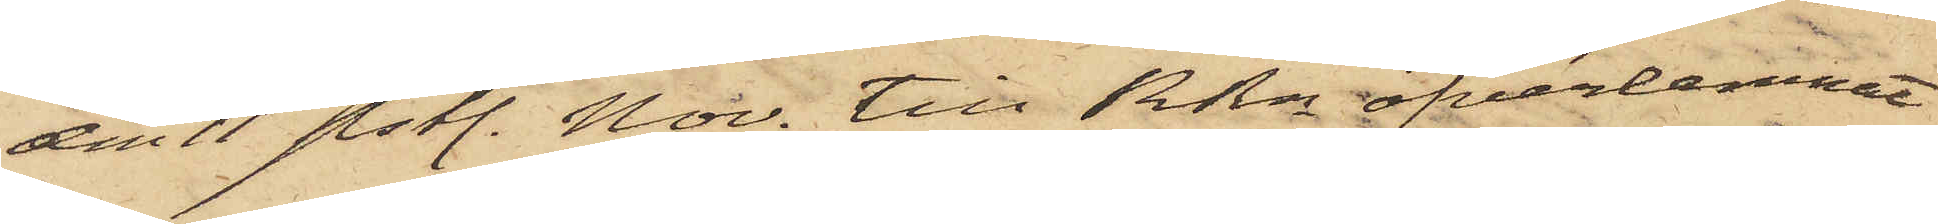den 11 sistl. Nov. till RRn öfverlemnat
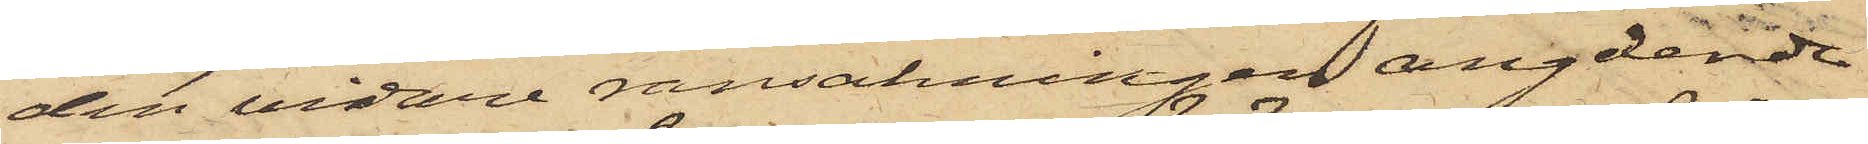den vidare ransakningen angående
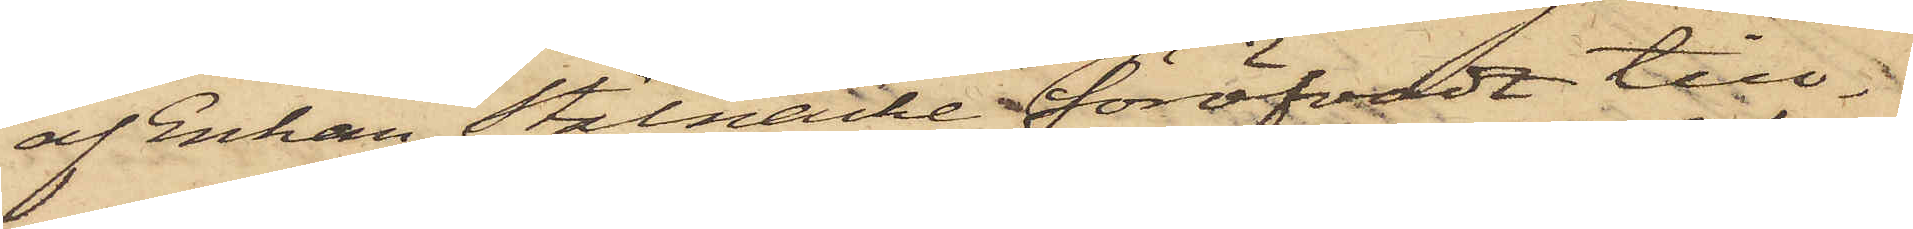af Enkan Stålnacke föröfvadt till¬
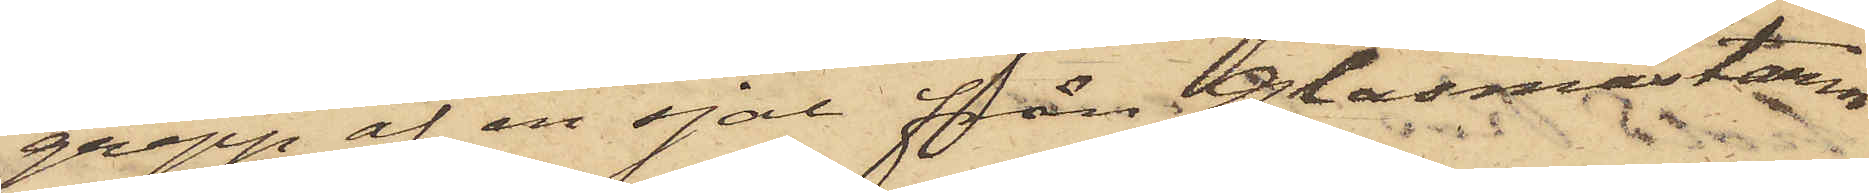grepp af en sjal från Glasmästaren
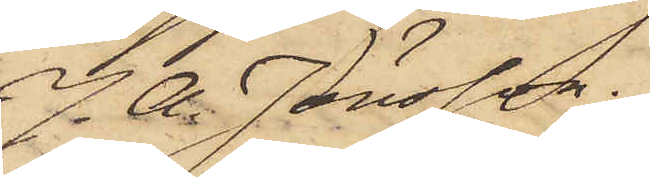J. A. Jönsson.
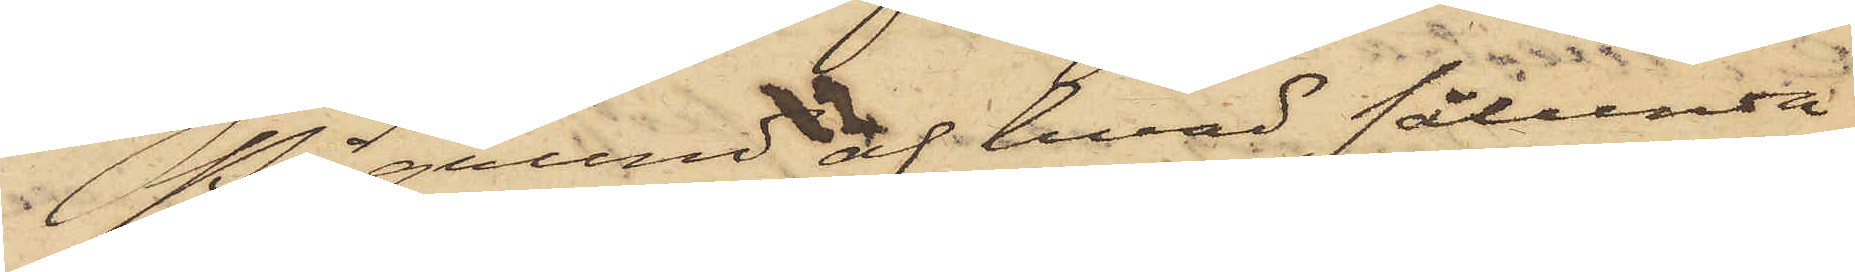På grunda hvad sålunda
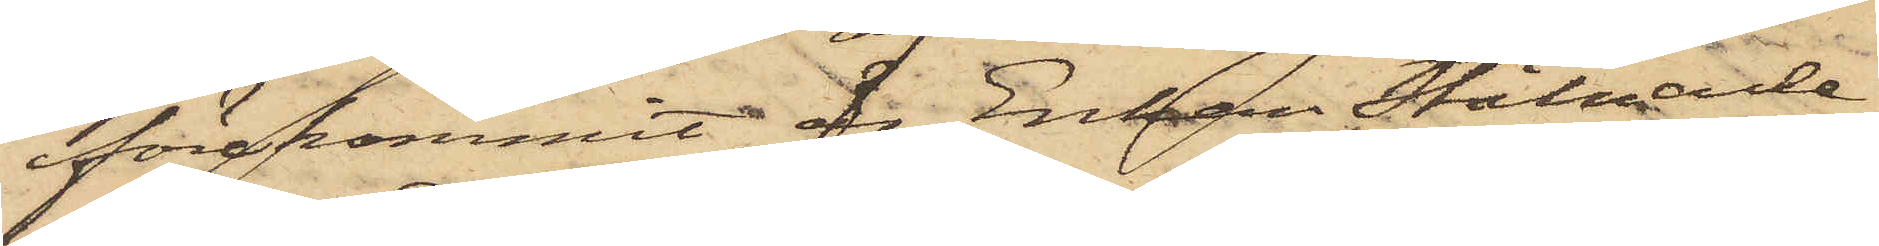förekommit, är Enkan Stålnacke
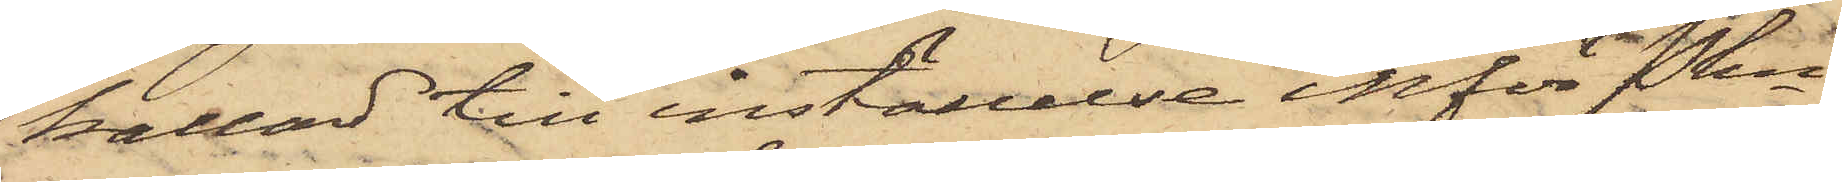kallad till inställelse inför Pkn
